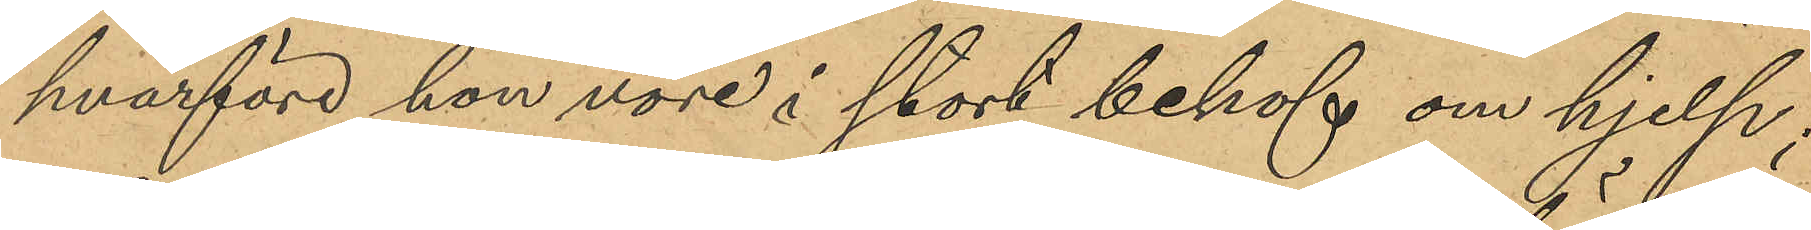hvarföre hon vore i stort behof om hjelp;
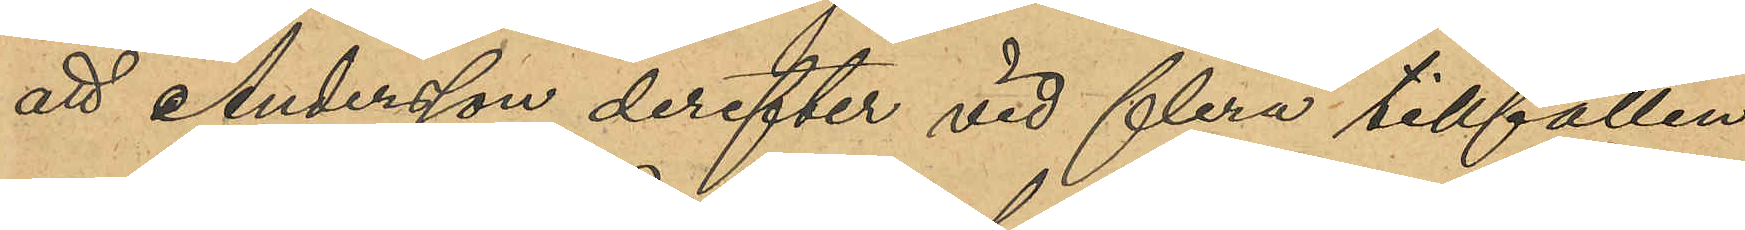att Andersson derefter vid flera tillfällen
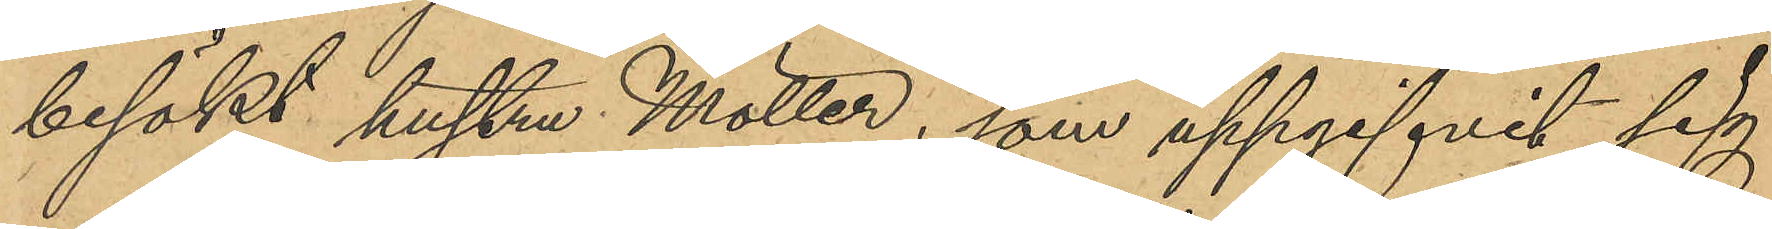besökt hustru Möller, som uppgifvit sig
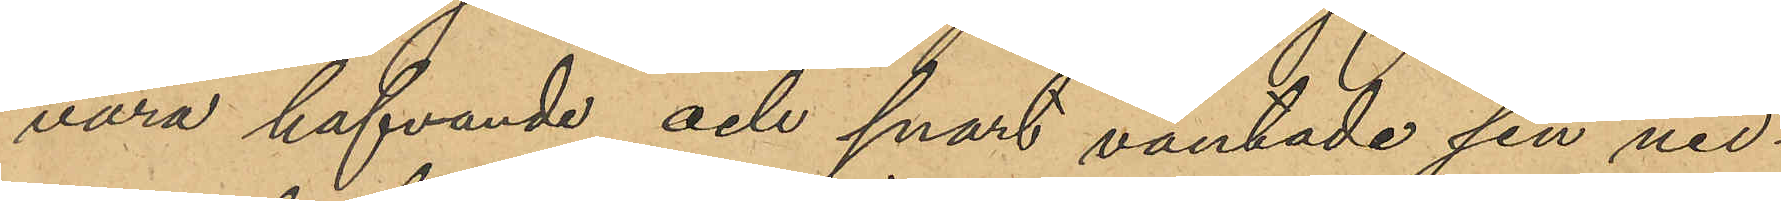vara hafvande och snart väntade sin ned¬
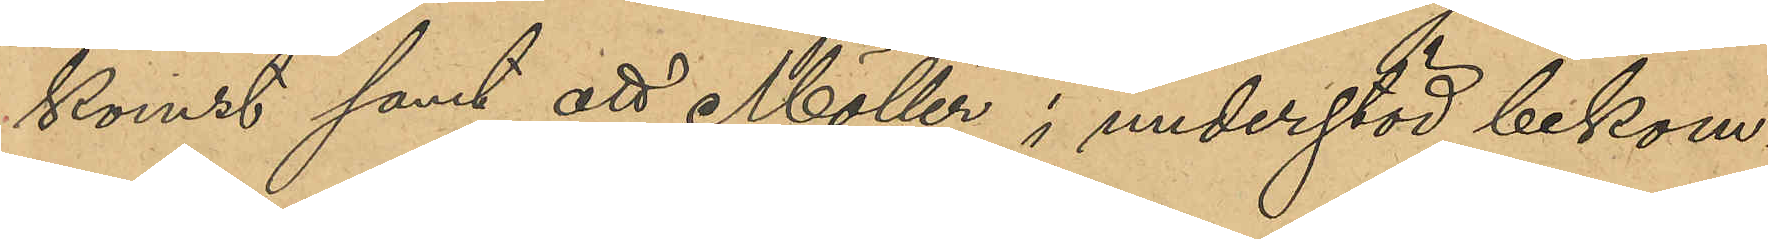komst samt att Möller i understöd bekom¬
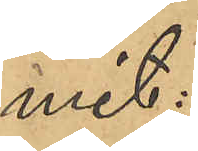mit:
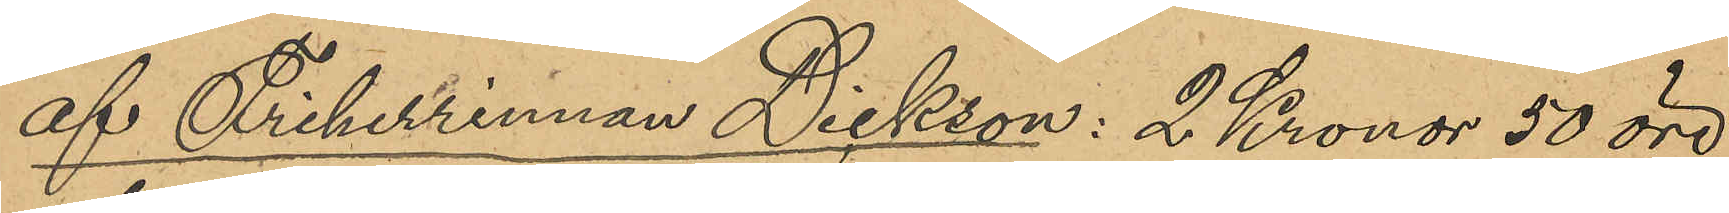af Friherrinnan Dickson: 2 Kronor 50 öre
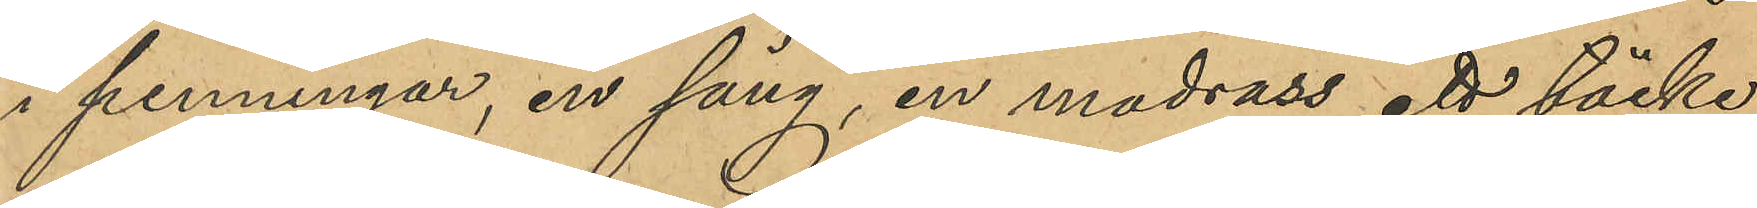i penningar, en säng, en madrass, ett täcke,
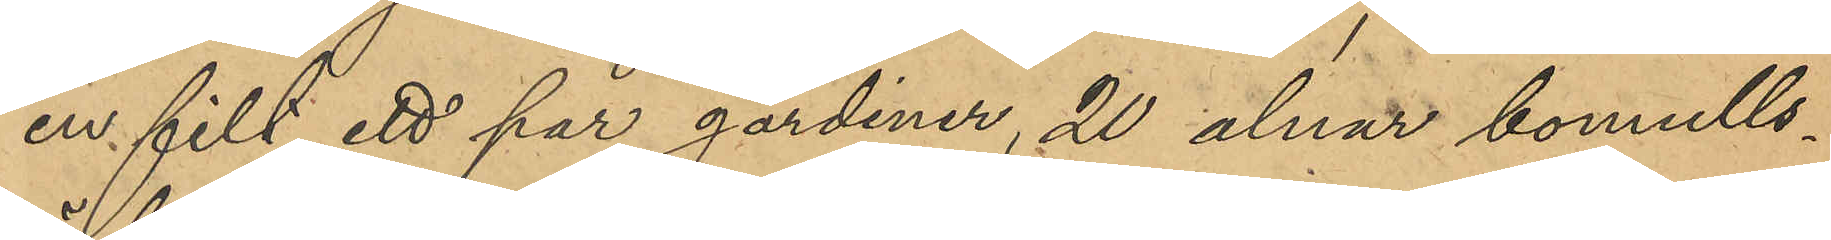en filt, ett par gardiner, 20 alnar bomulls¬
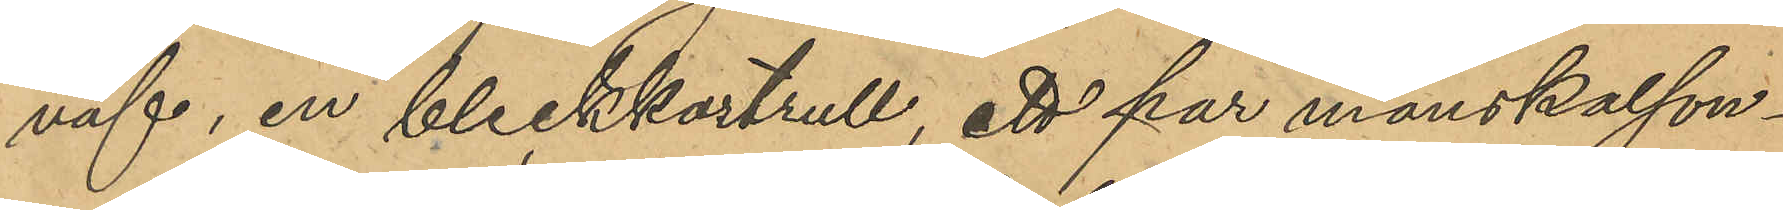väf, en bleckkastrull, ett par manskalson¬
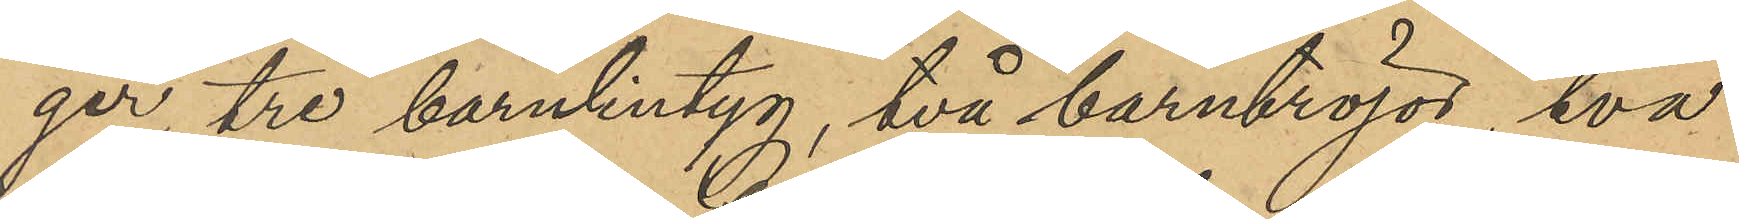ger, tre barnlintyg, två barntröjor, två
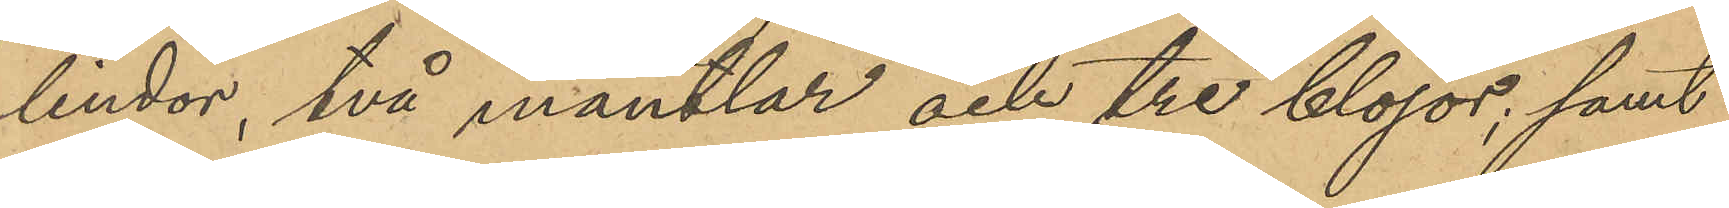lindor, två mantlar och tre blöjor; samt
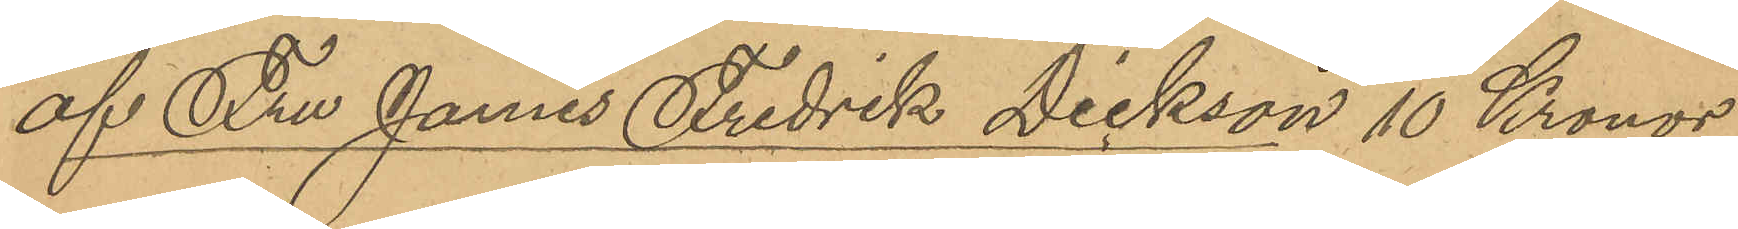af Fru James Fredrik Dickson 10 Kronor
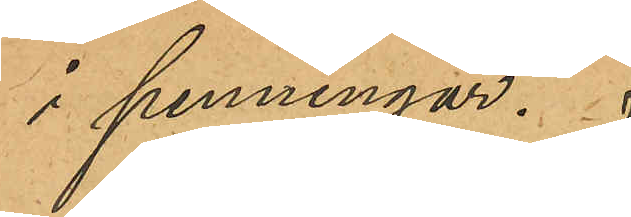i penningar.
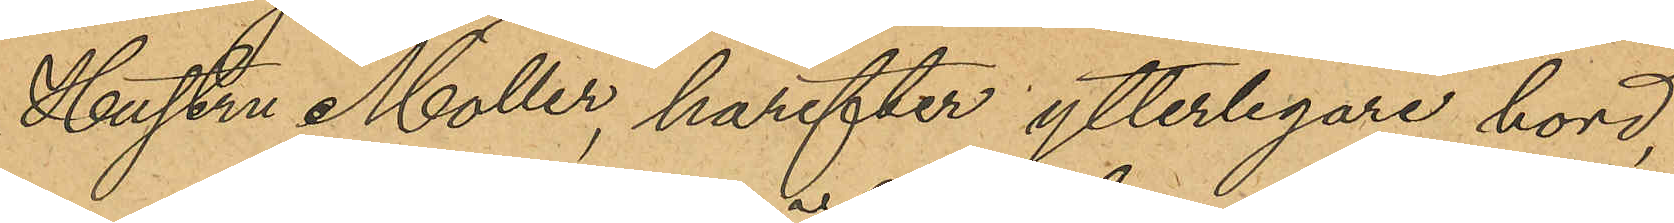Hustru Möller, härefter ytterligare hörd,
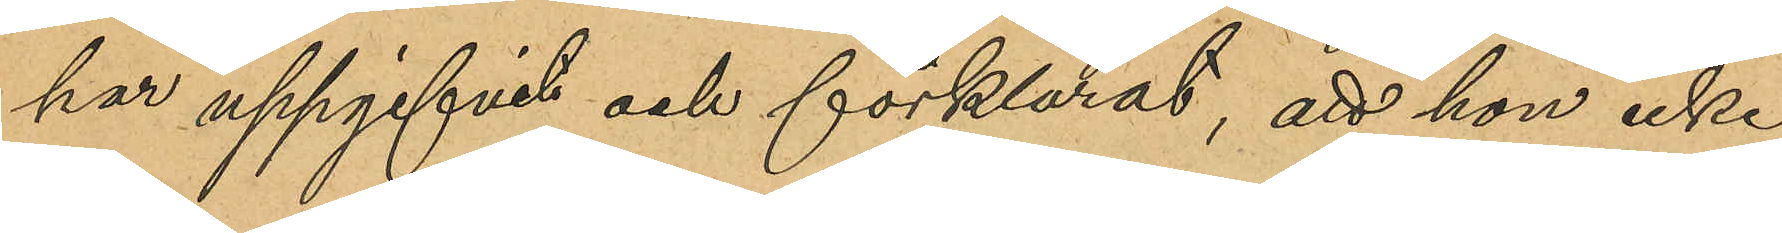har uppgifvit och förklarat, att hon icke
